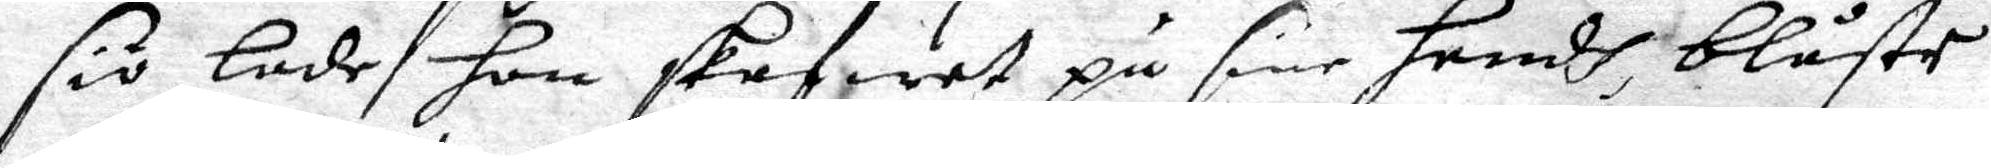siö lade hon skafwet på sine hendh, blåste
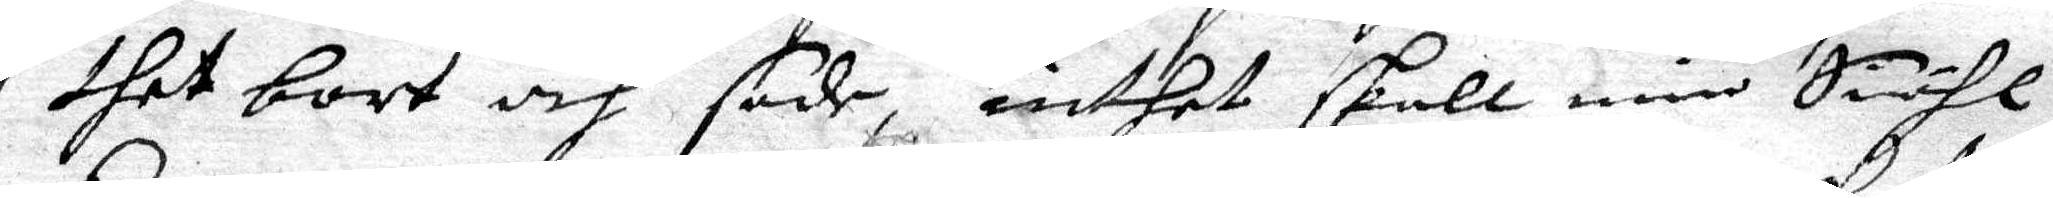thet bort och sade, inthet skall min Siähl
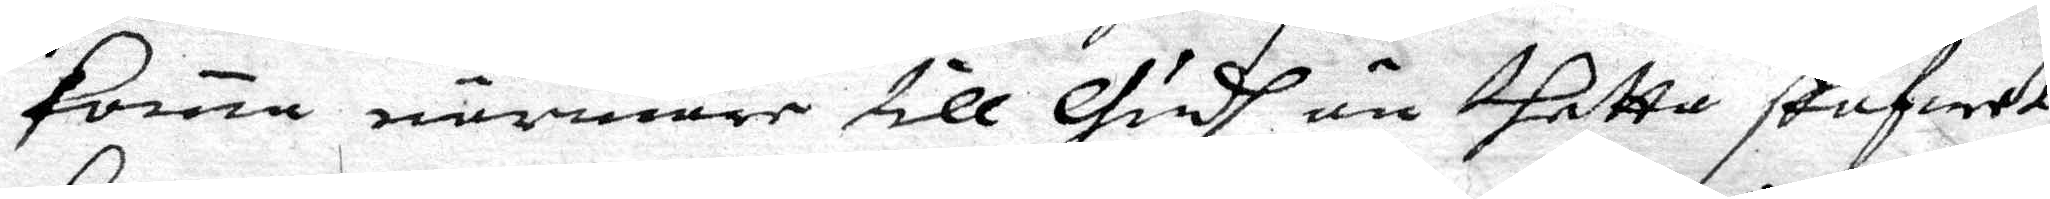koma närmare till Gudh än thetta skafwet
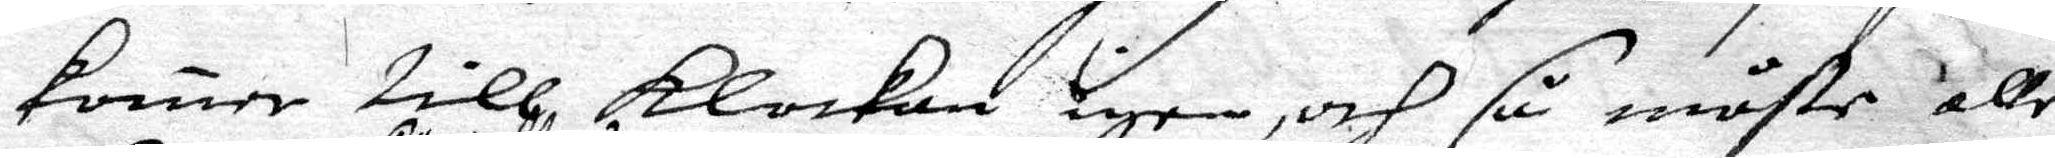komer till klockan igen, och så måste alle
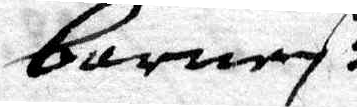barnen. 
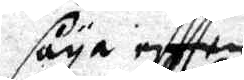säya eftter
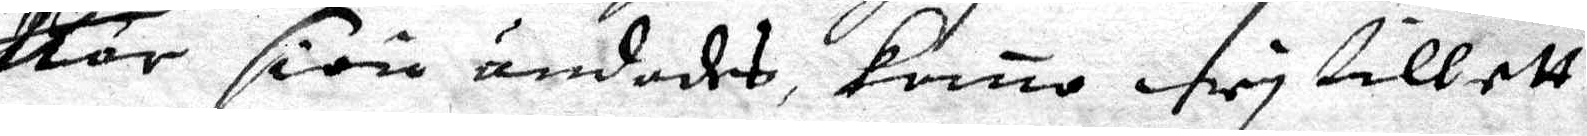När siön ändades komo wy till ett
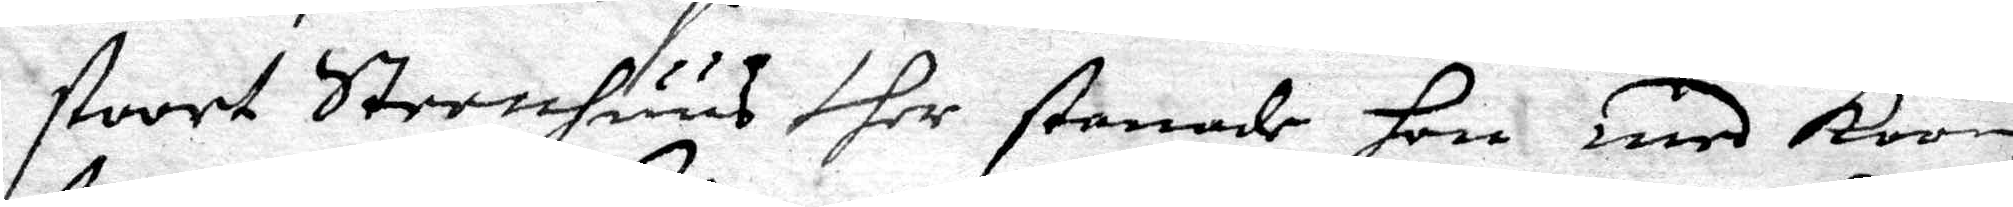stoort Steenhuus ther stanade hon med koon
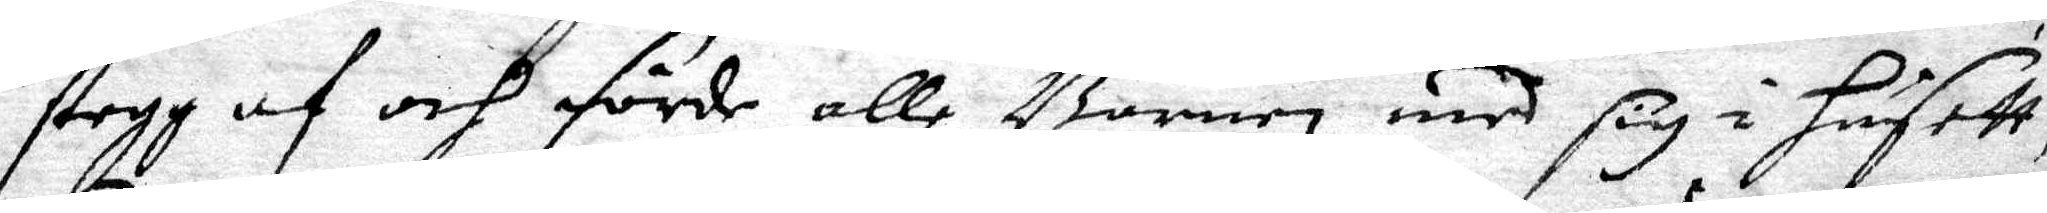stegg af och förde alle Barnen med sig i husett,
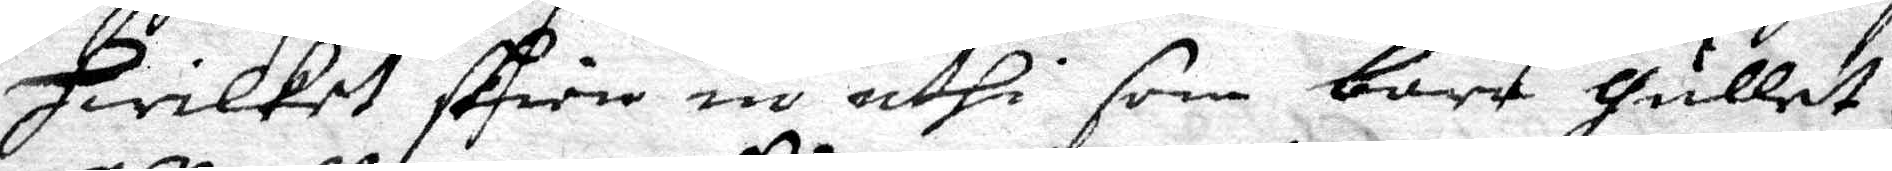hwilket skien in uthi som bara gullet,
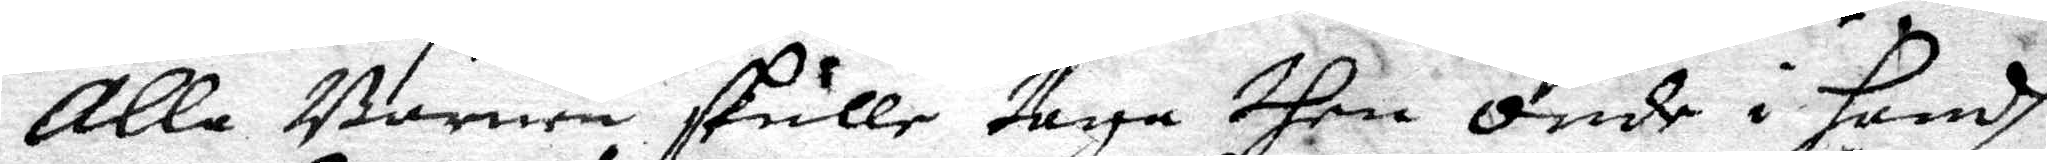alle Barnen skulle taga then onde i handh
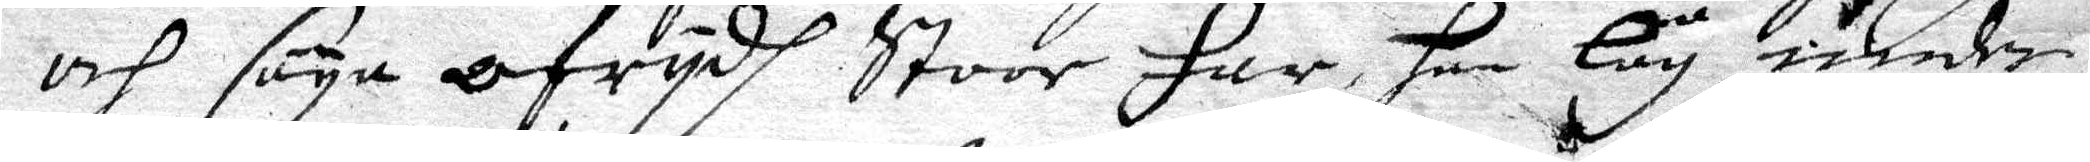och säya ofrydh Stoor Far, han låg under
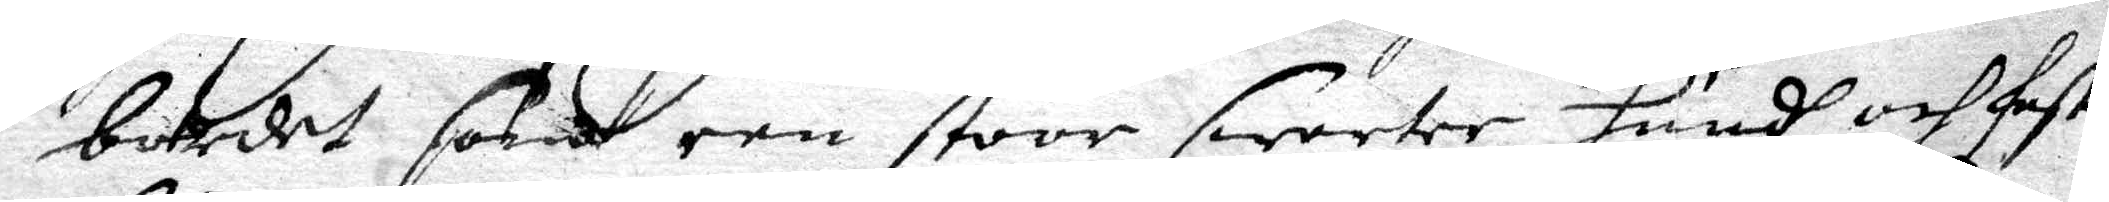bordet som een stoor swarter hundh och fast
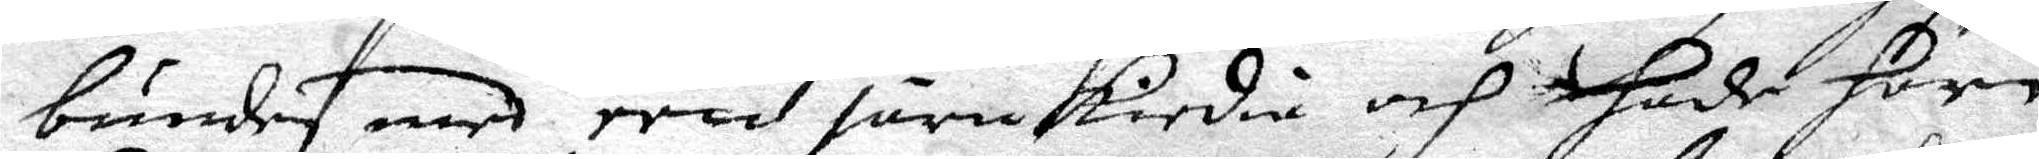bunden med een järnkiedia och hade horn
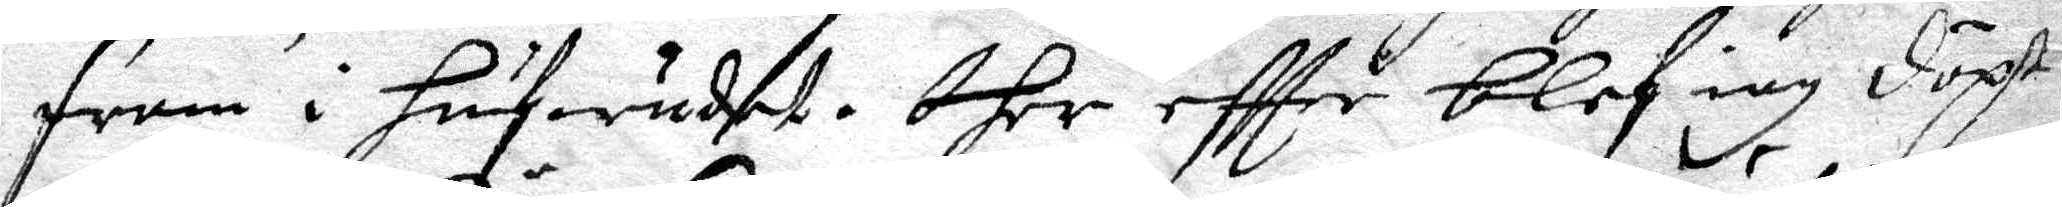fram i hufwudeet. dher eftter blef iag döpt
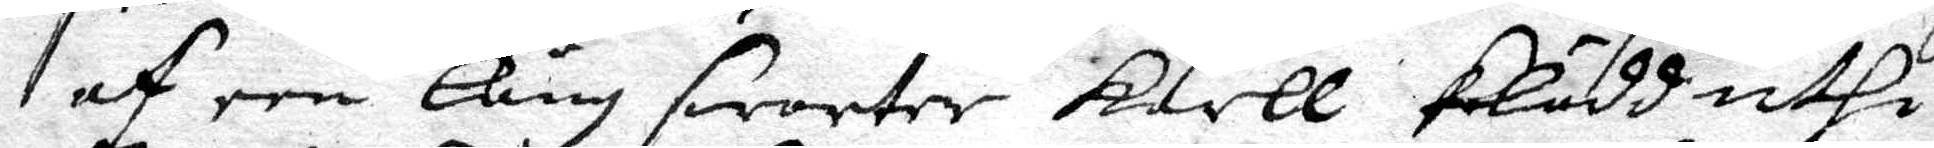af een lång swarter Karll klädd uthi
